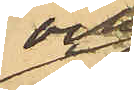och
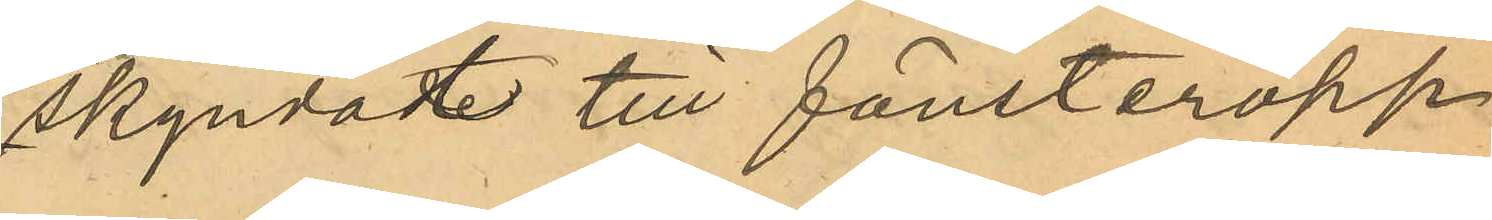skyndat till fönsteröpp¬
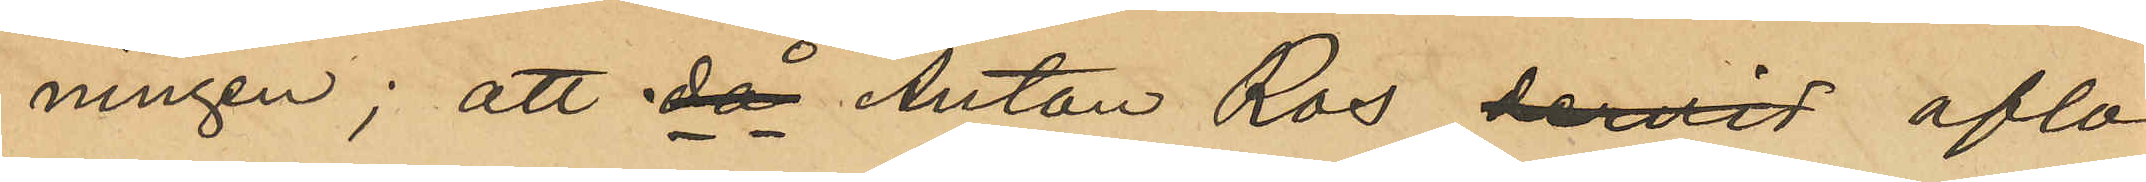ningen; att då Anton Ros hervid aflos¬
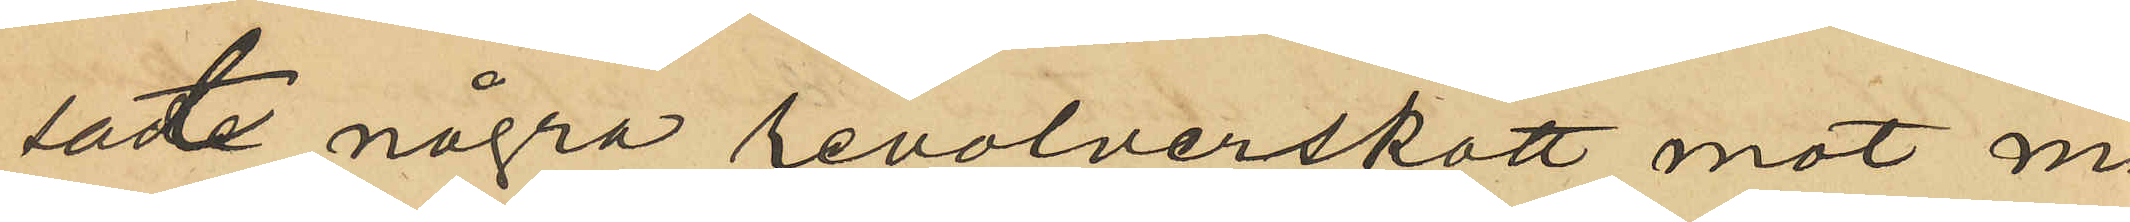sat några revolverskott mot ma¬
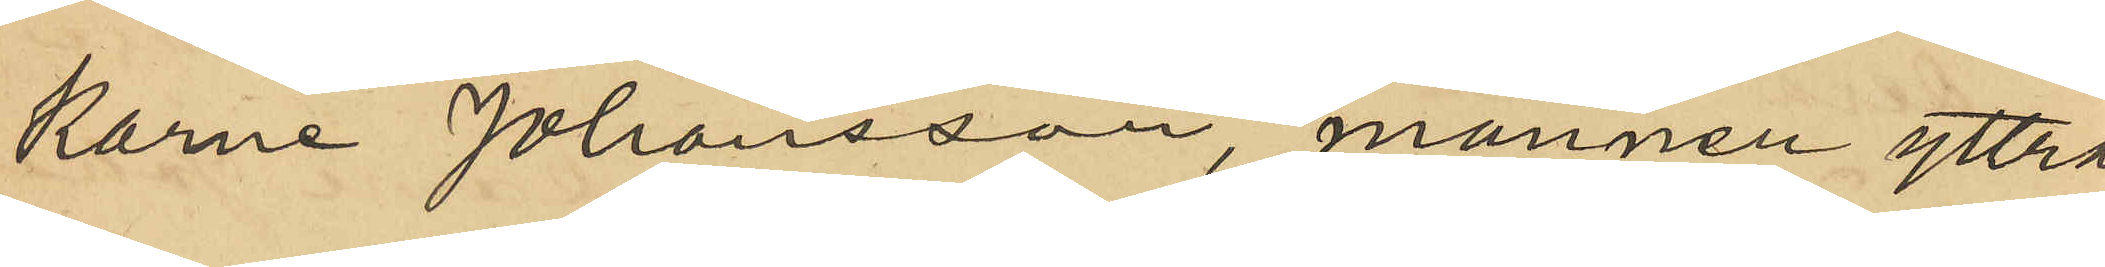karne Johansson, mannen yttrat
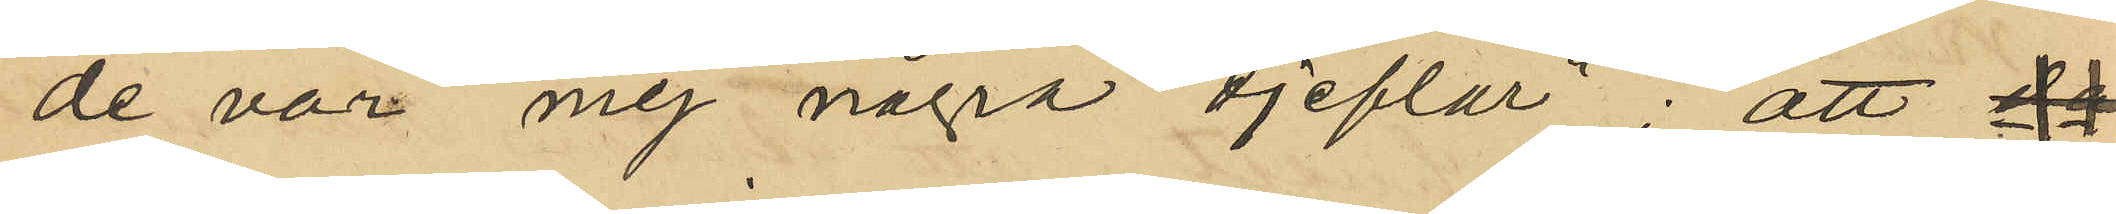"de var mej några djeflar"; att
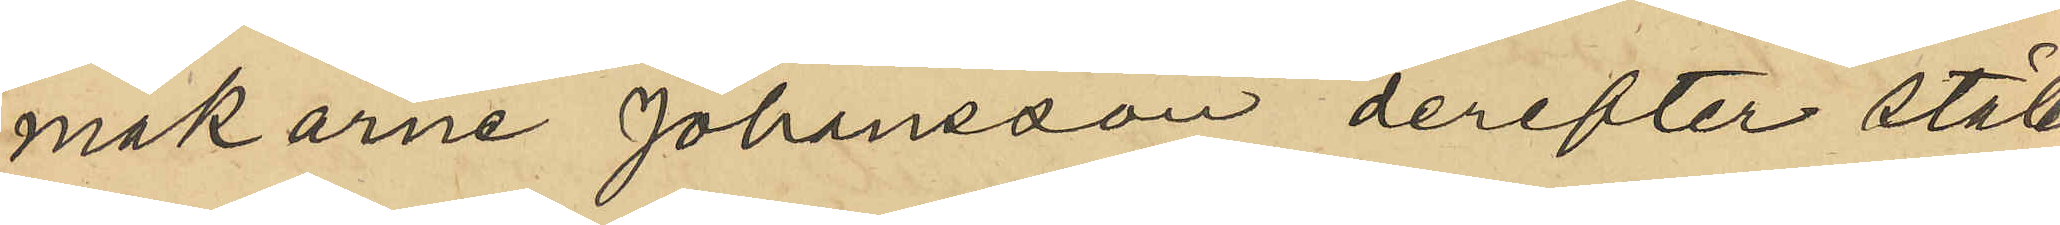makarne Johansson derefter stält
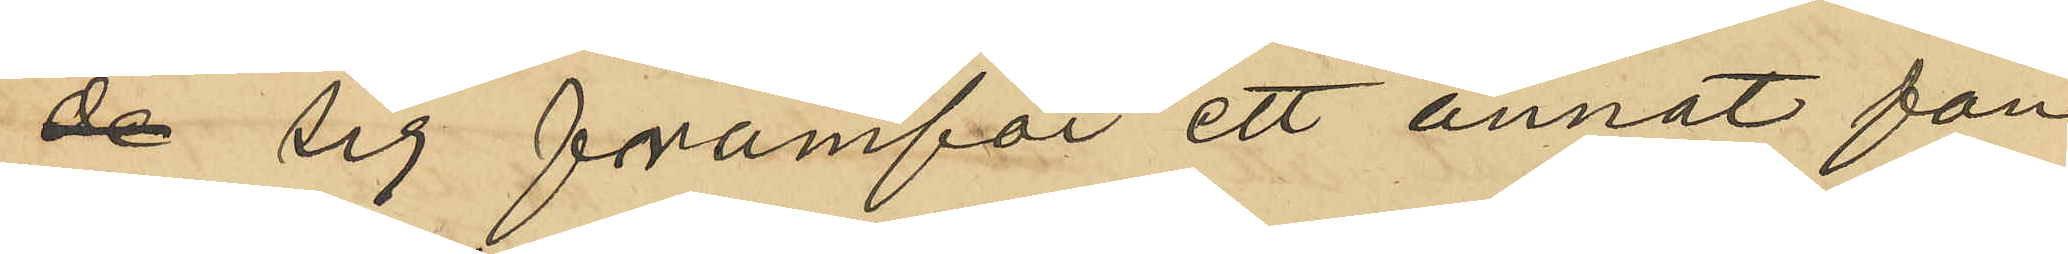de sig framför ett annat fön¬
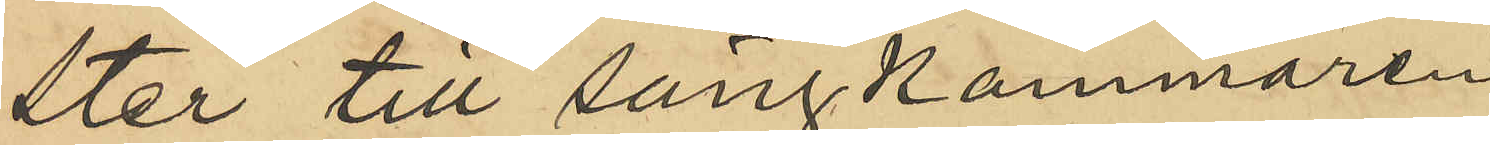ster till sängkammaren 
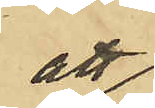att
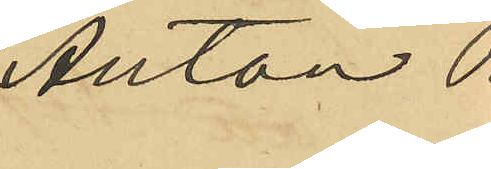Anton Ros
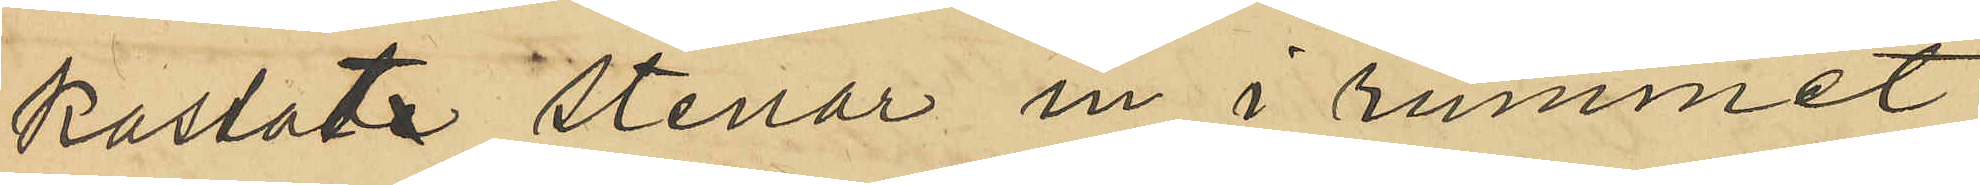kastat stenar in i rummet,
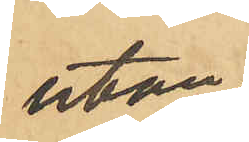utan
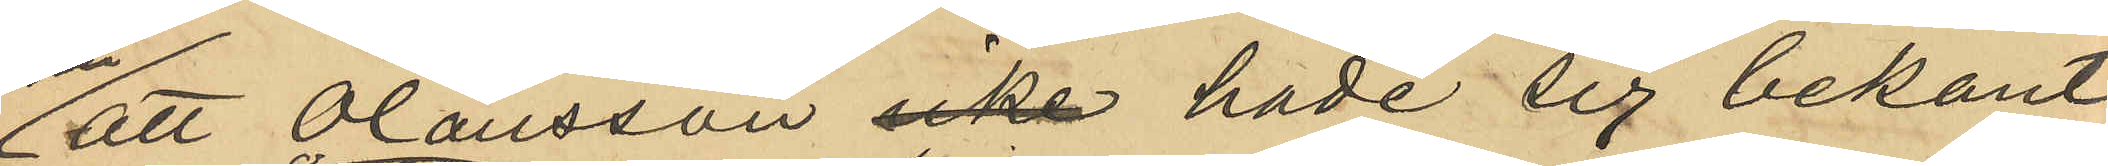att Olausson icke hade sig bekant
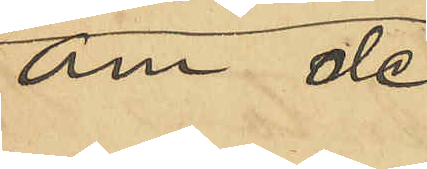om de 
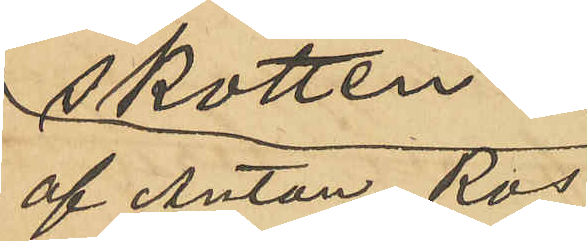af Anton Ros
